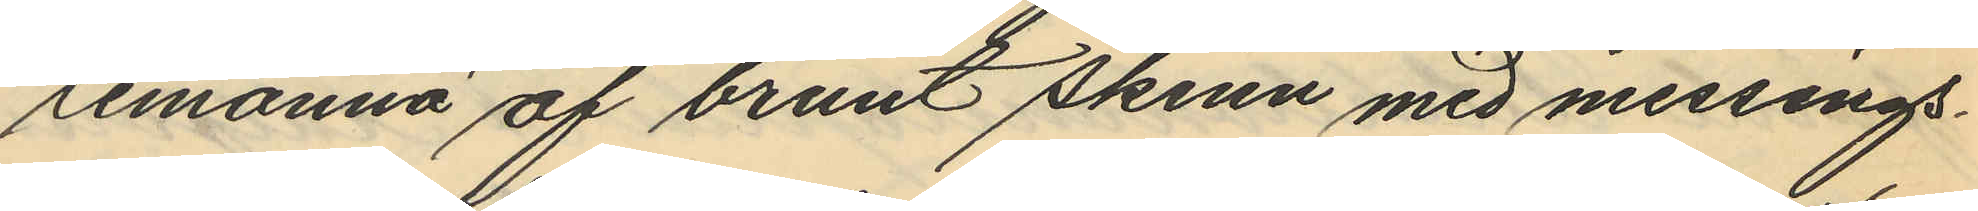temonnä af brunt skinn med messings¬
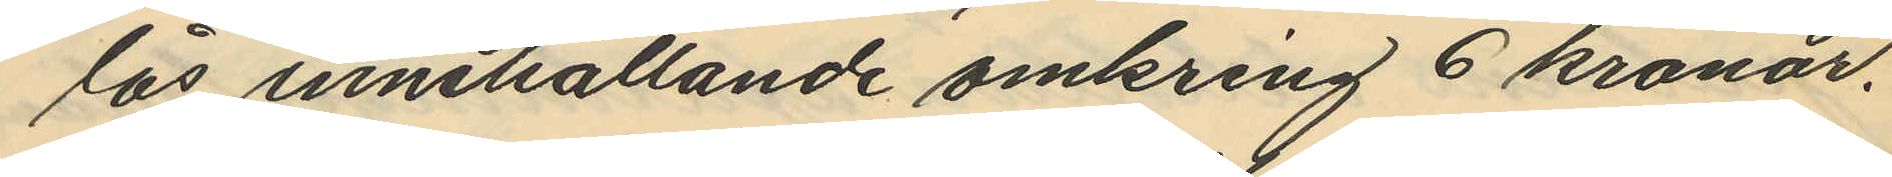lås innehållande omkring 6 kronor.
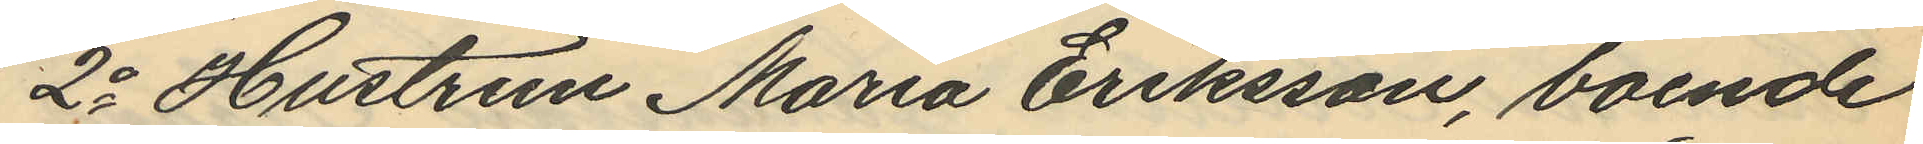2o Hustrun Maria Eriksson, boende
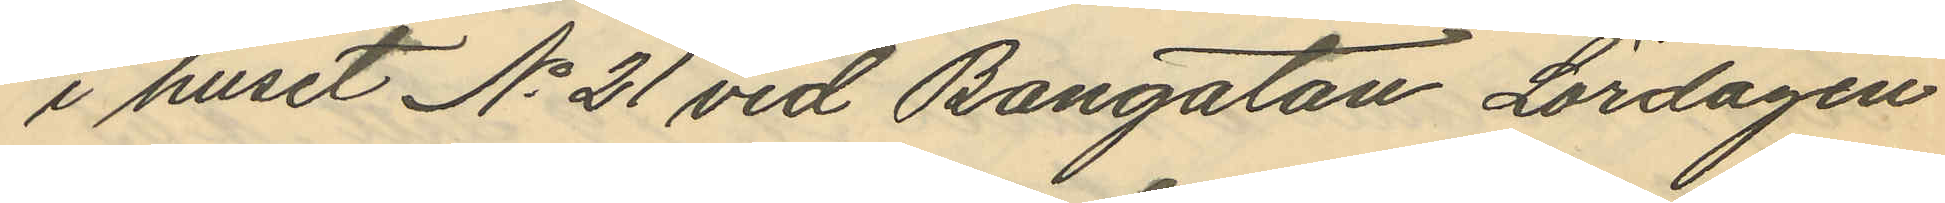i huset No 21 vid Bangatan Lördagen
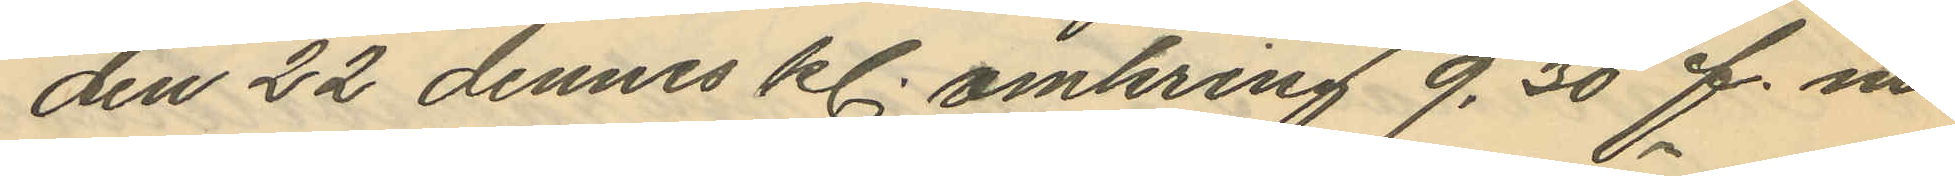den 22 dennes kl. omkring 9,30 f. m.
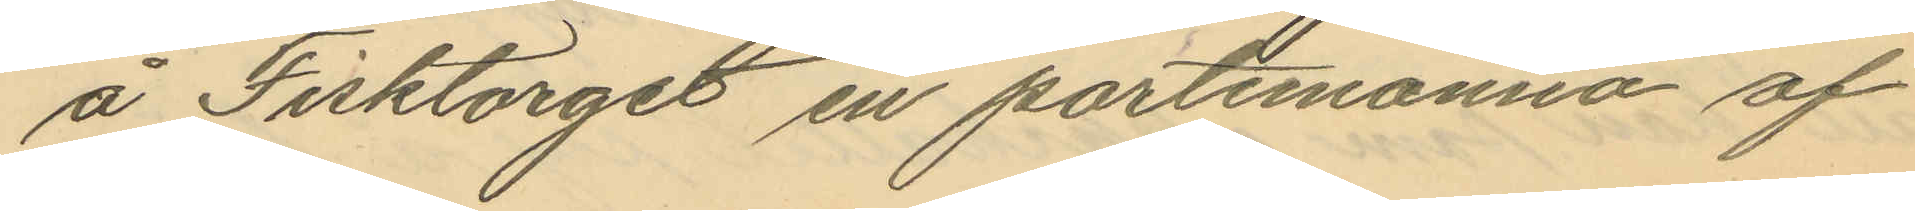å Fisktorget en portemonnä af
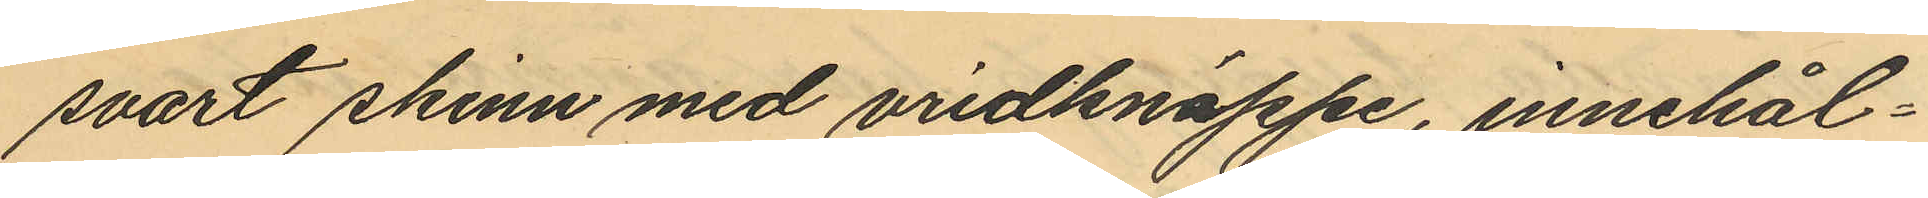svart skinn med vridknäppe, innehål¬
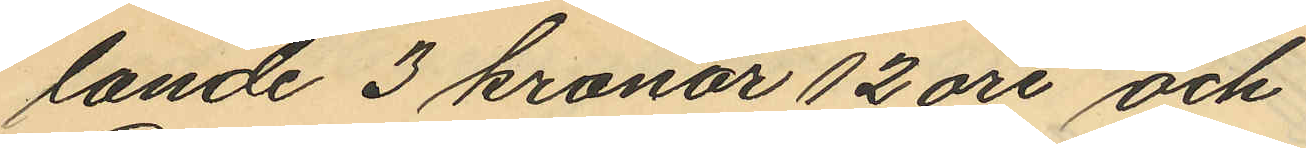lande 3 kronor 12 öre och
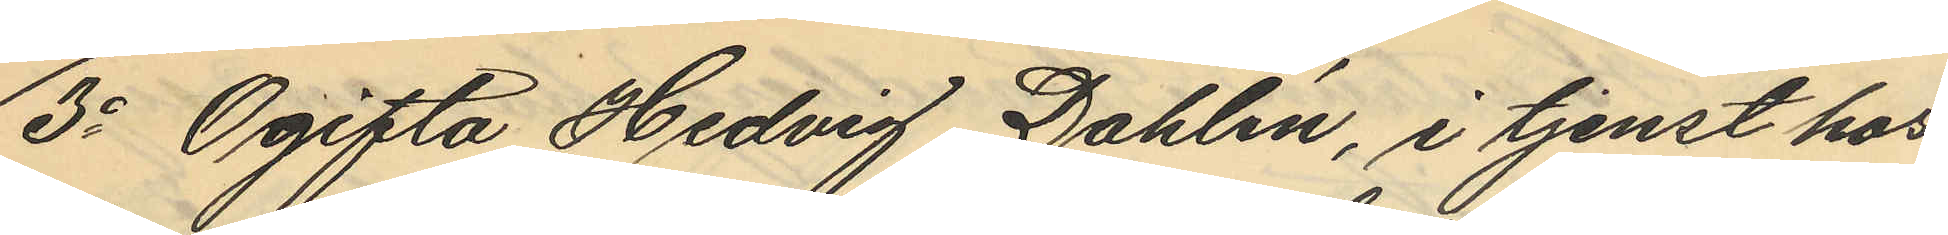3o Ogifta Hedvig Dahlén, i tjenst hos
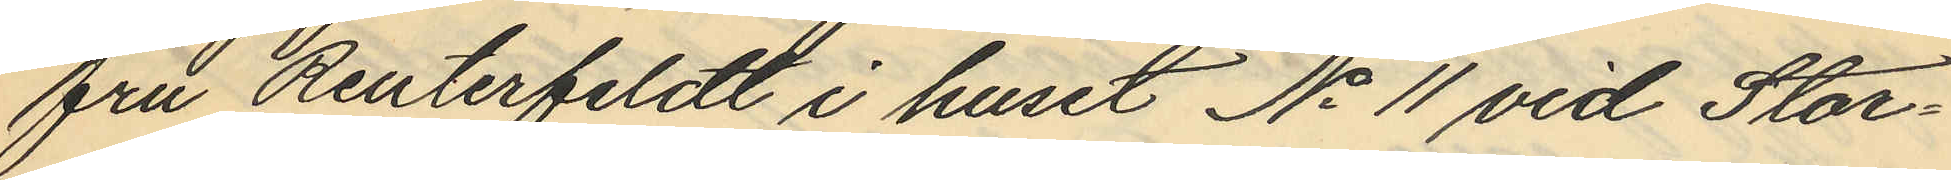fru Reuterfeldt i huset No 11 vid Stor¬
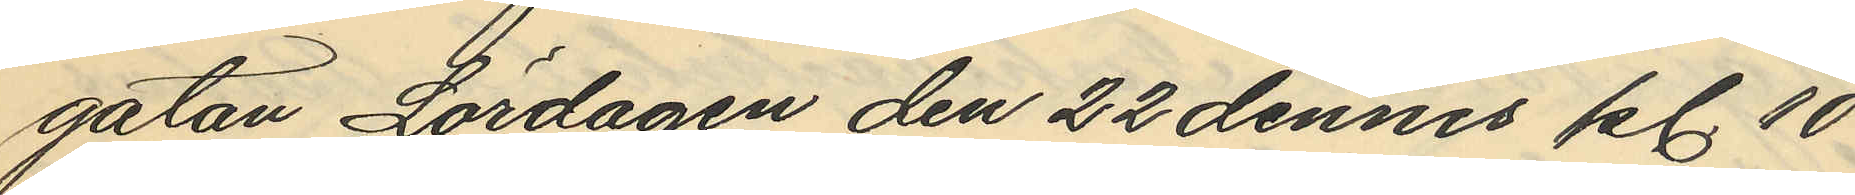gatan Lördagen den 22 dennes kl. 10
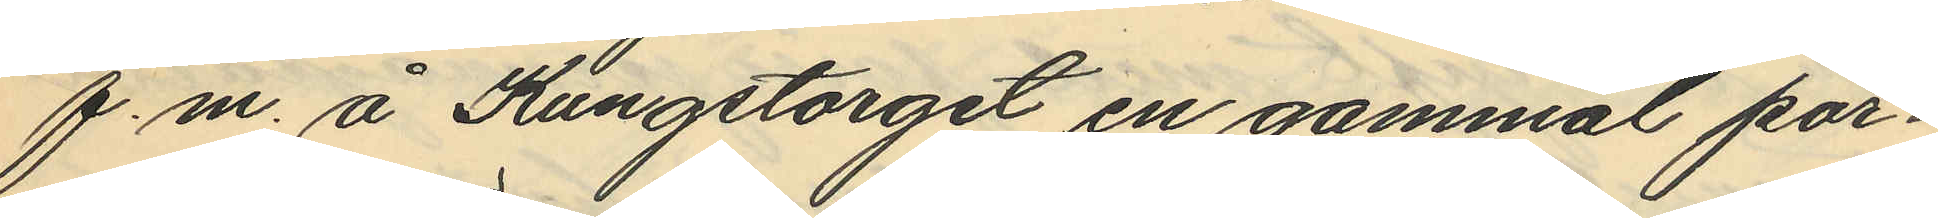f.m. å Kungstorget en gammal por¬
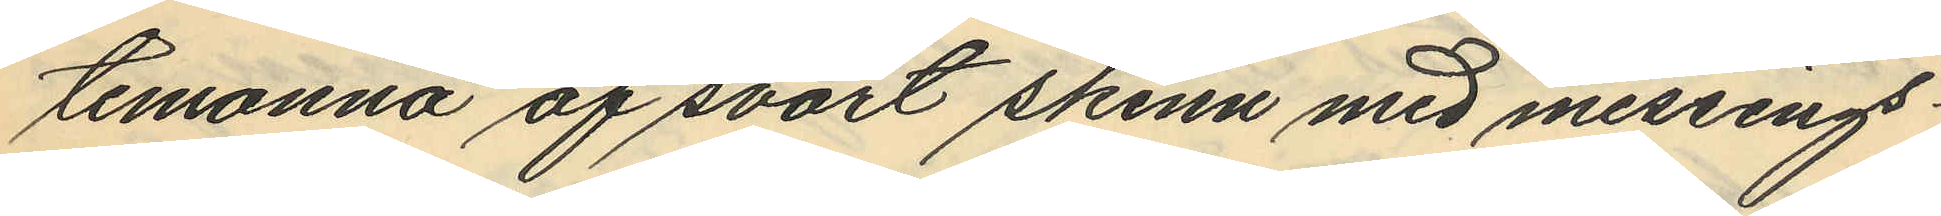temonnä af svart skinn med messings¬
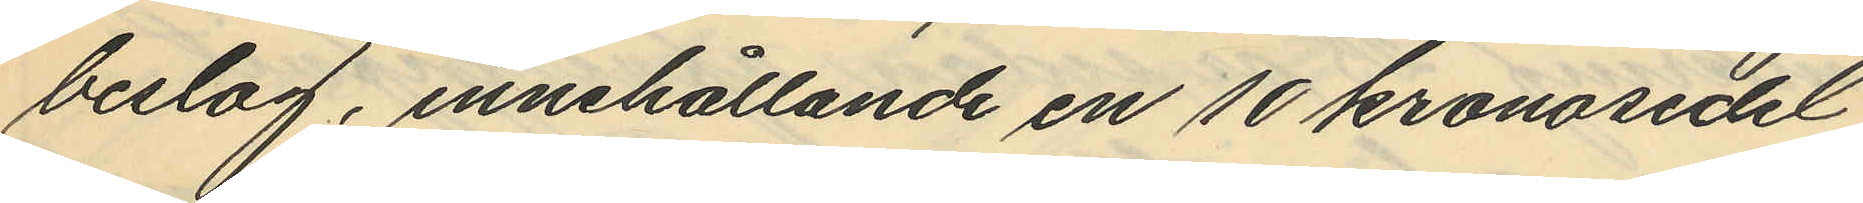beslag, innehållande en 10 kronosedel
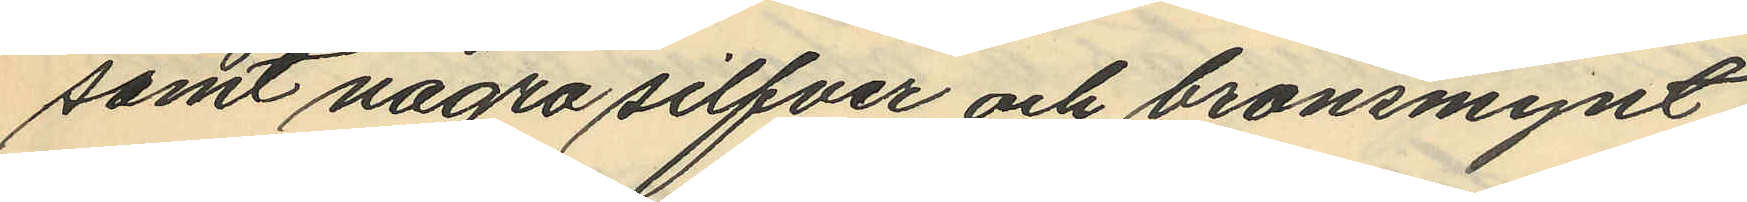samt några silfver och bronsmynt.
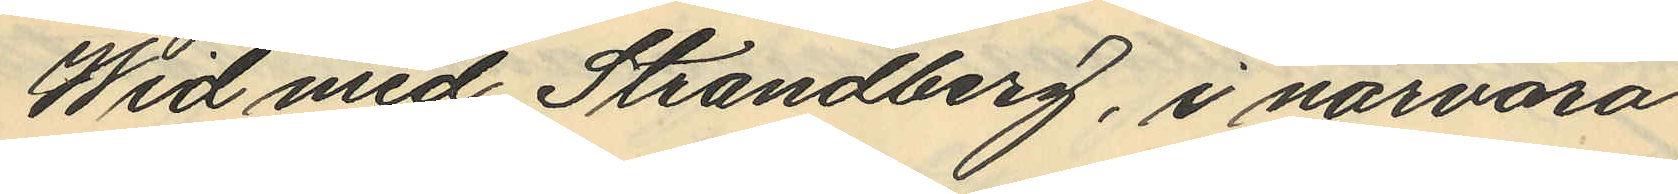Wid med Strandberg, i närvaro
